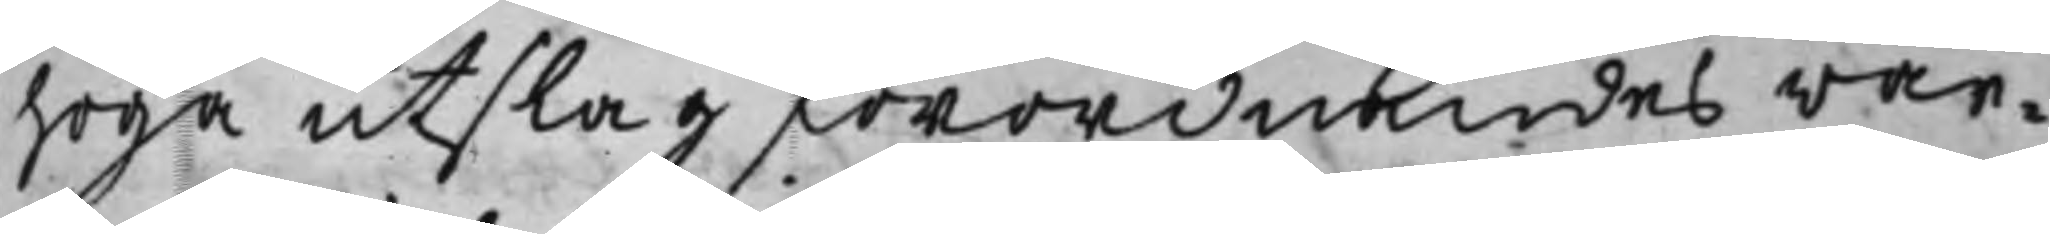höga utslag förordnandes war¬
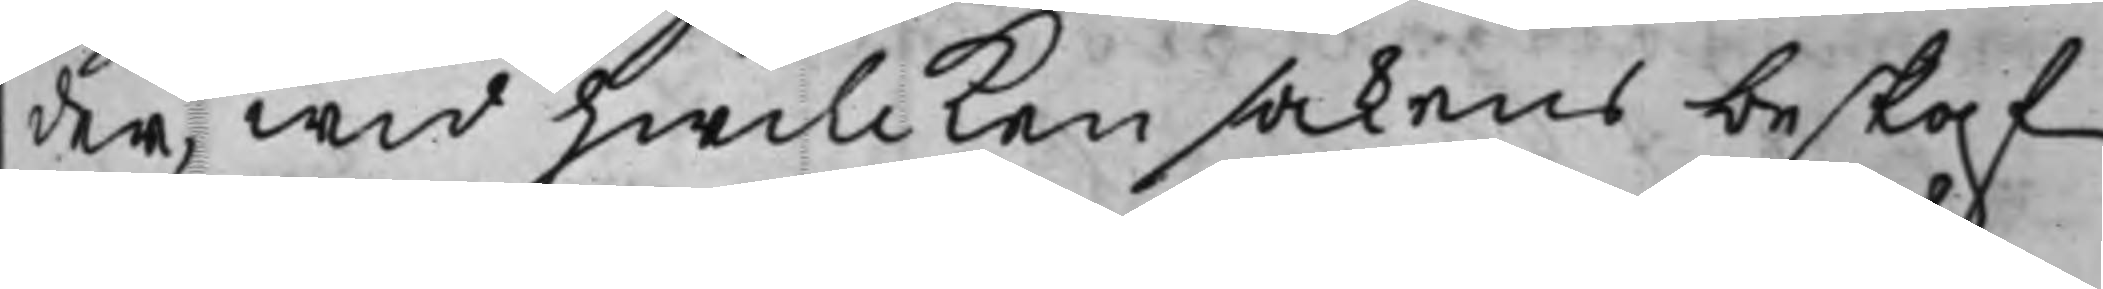der, wid hwilcken sakens beskaf¬
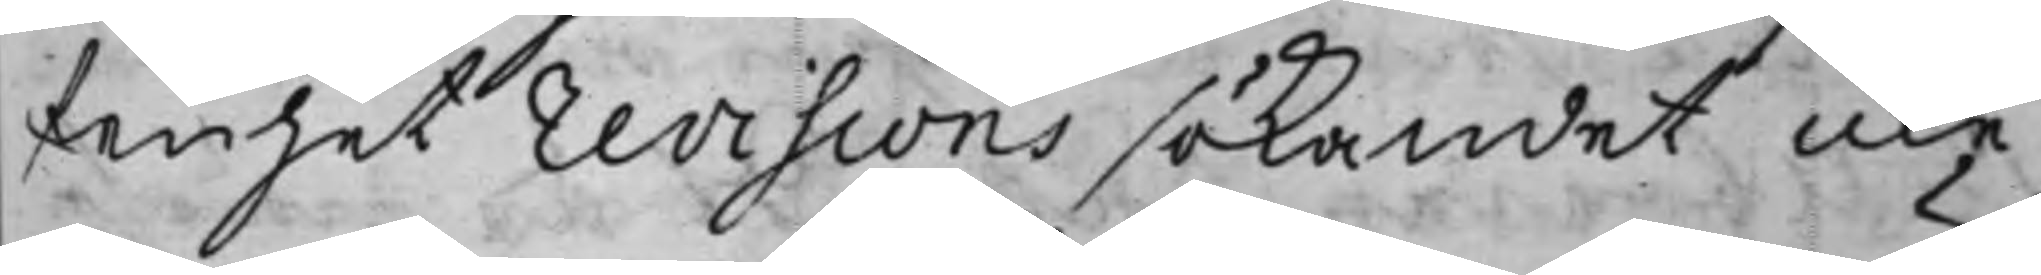fenhet revisions sökandet icke
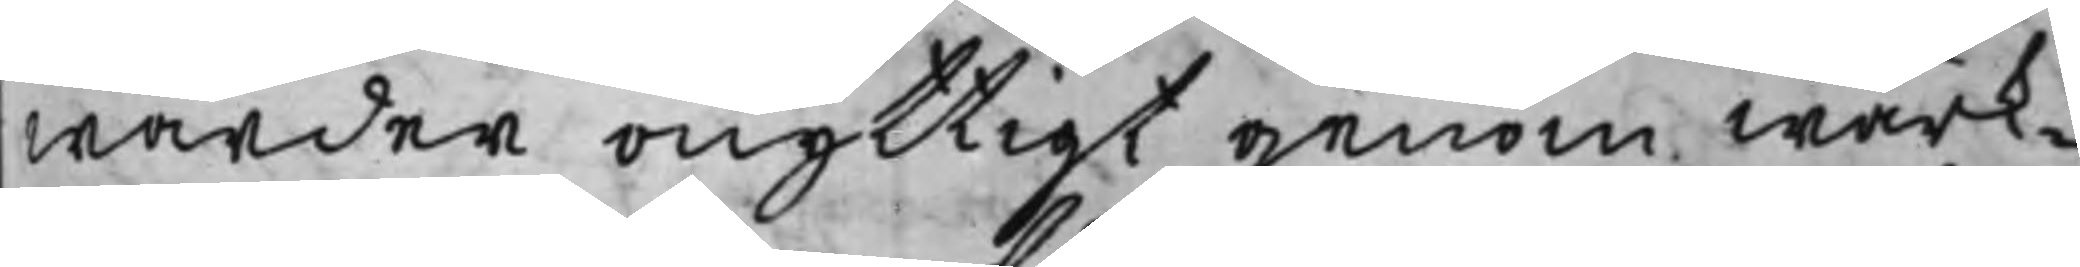warder onyttigt genom wärk¬
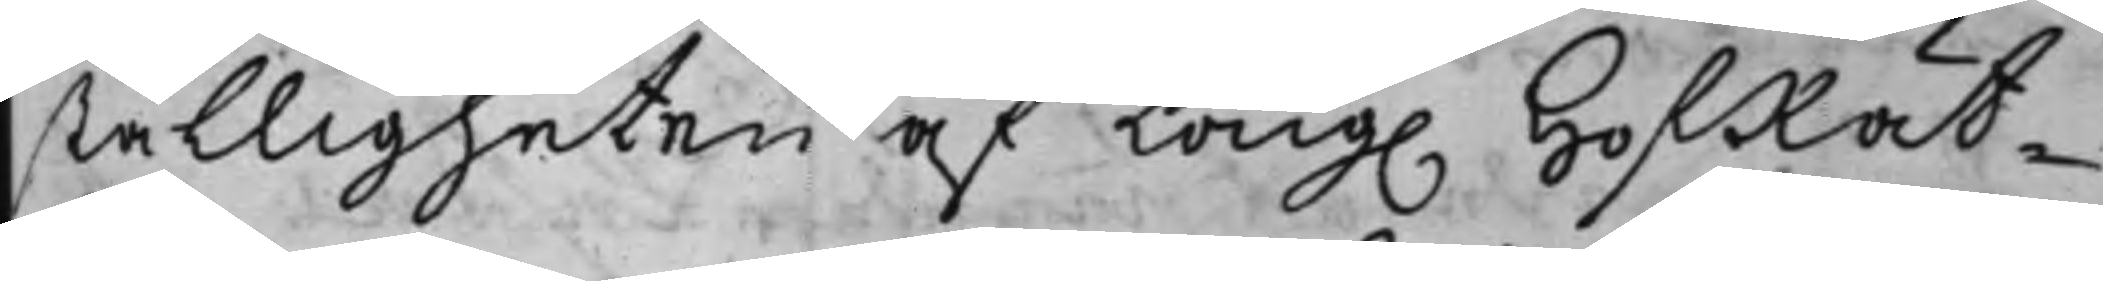ställigheten af Kong. HofRät¬
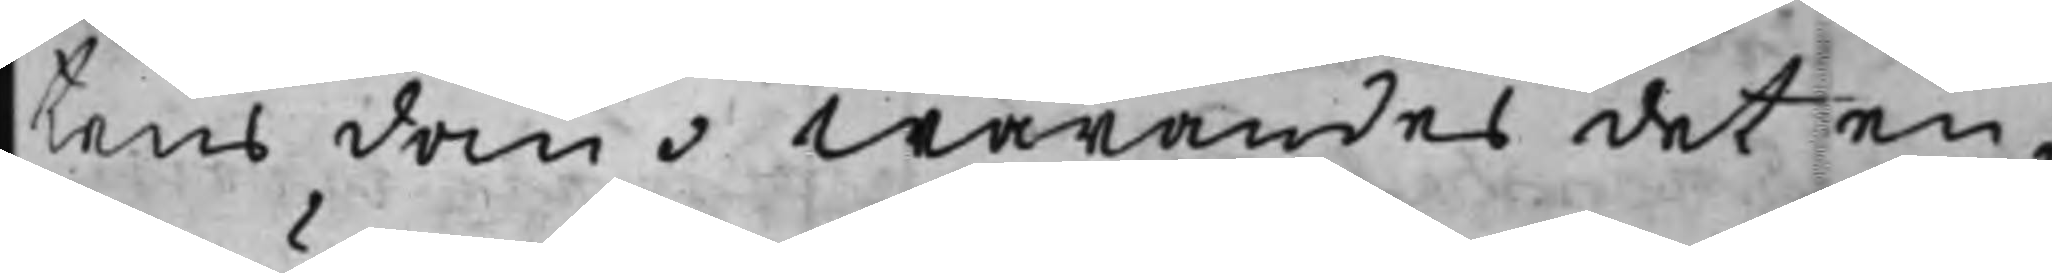tens dom, warandes det en
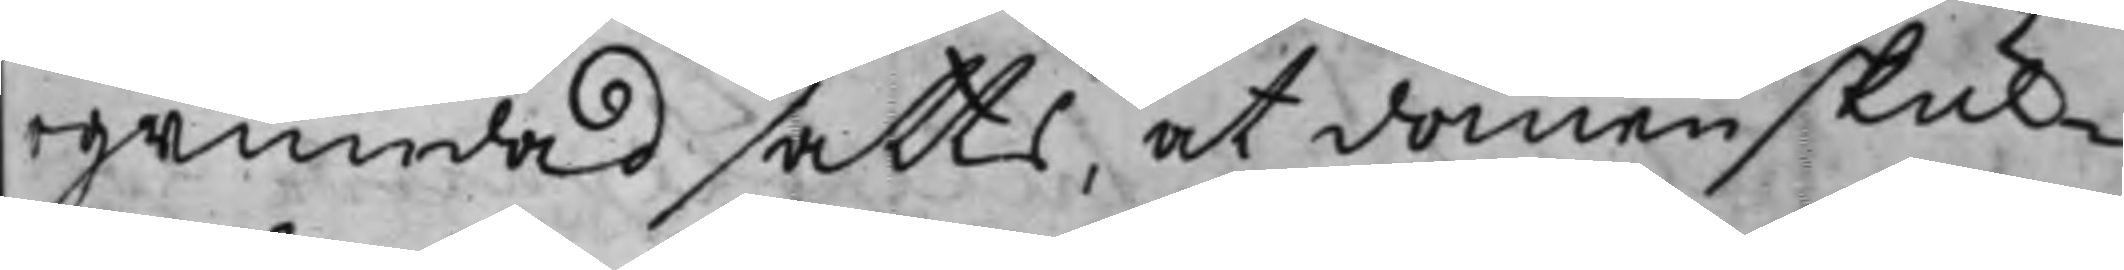ogrundad satts, at domen skul¬
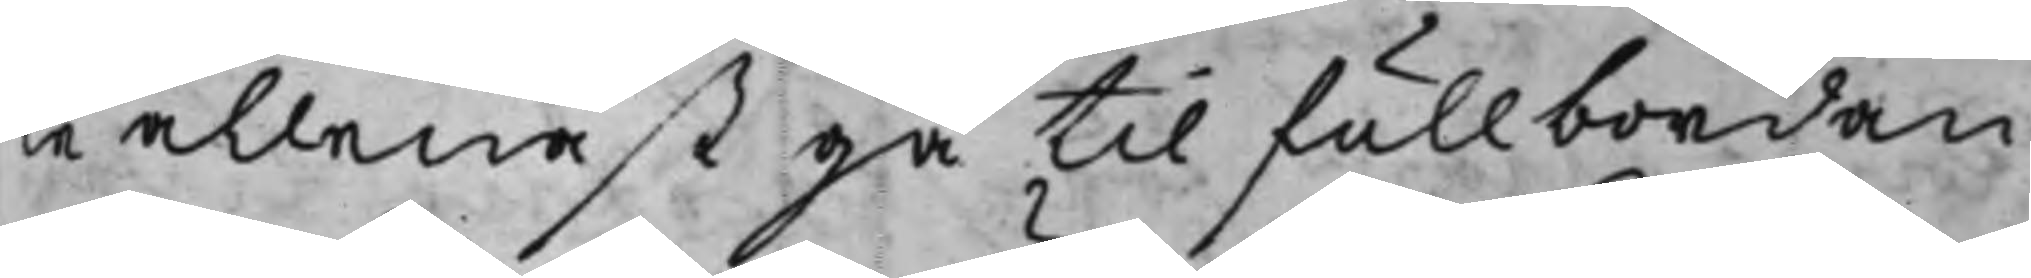le allenast gå til fullbordan
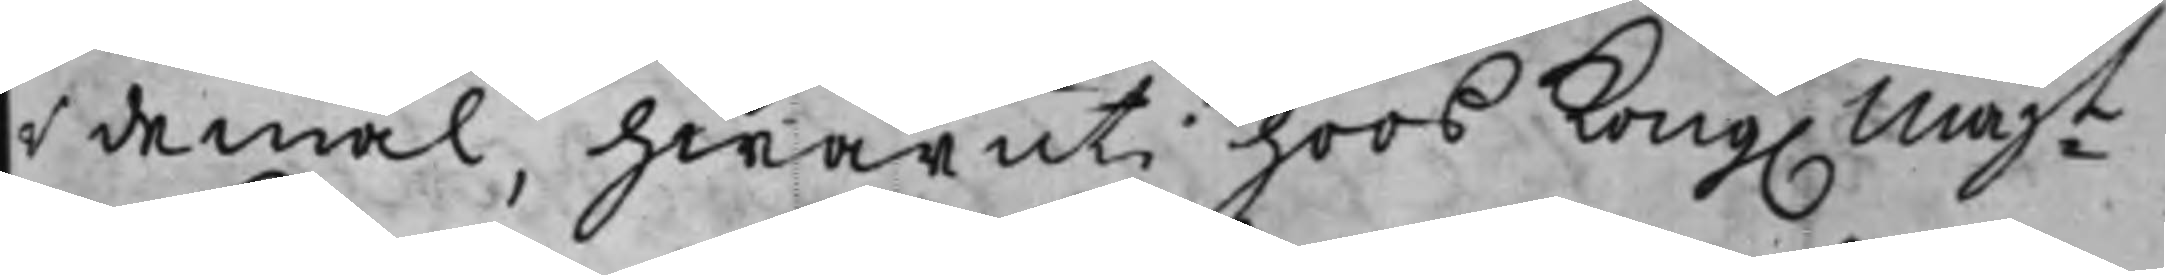i de mål, hwaruti hoos Kong. Majt
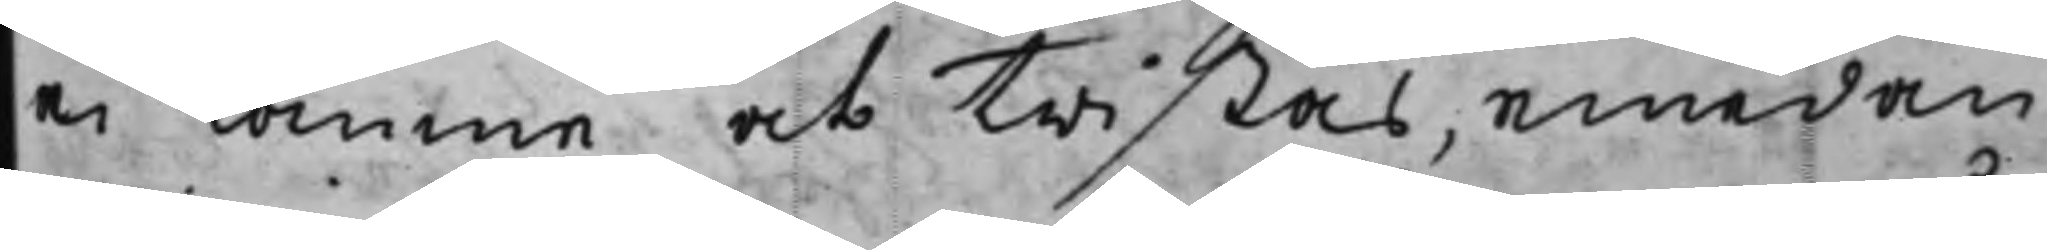ei komme at twistas, emedan
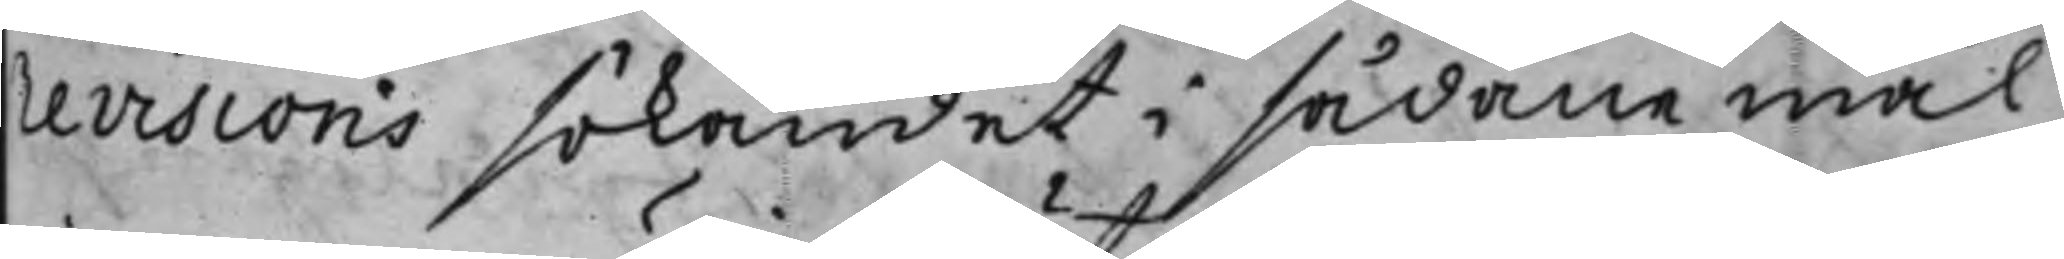revisions sökandet i sådane mål
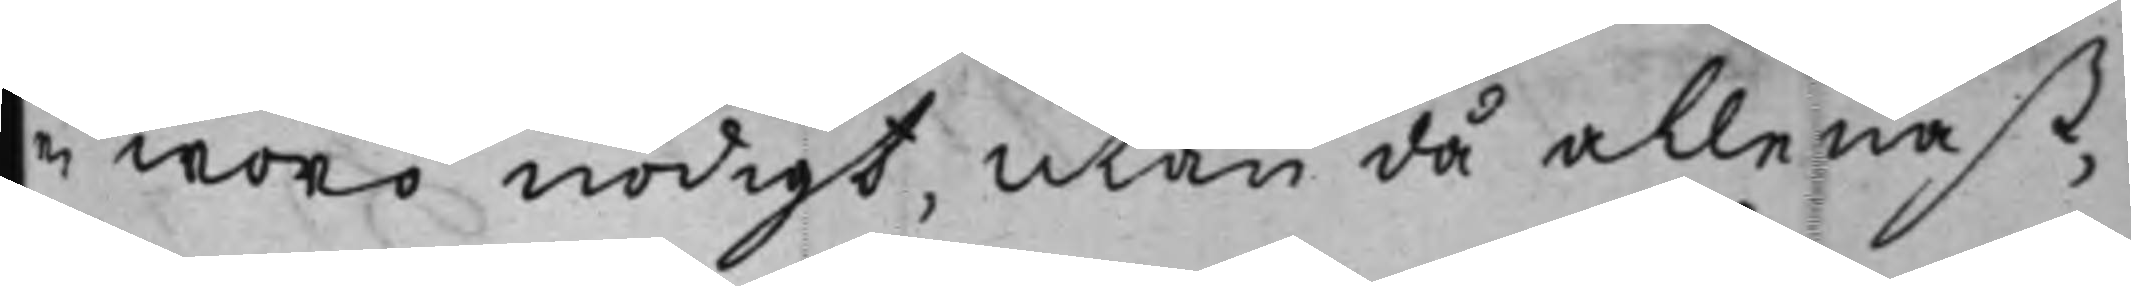ei woro nödigt, utan då allenast,
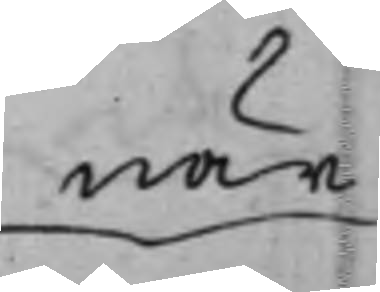när
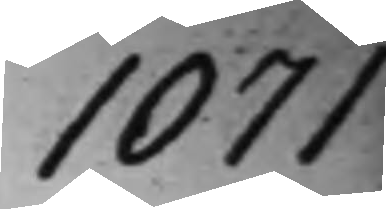1071
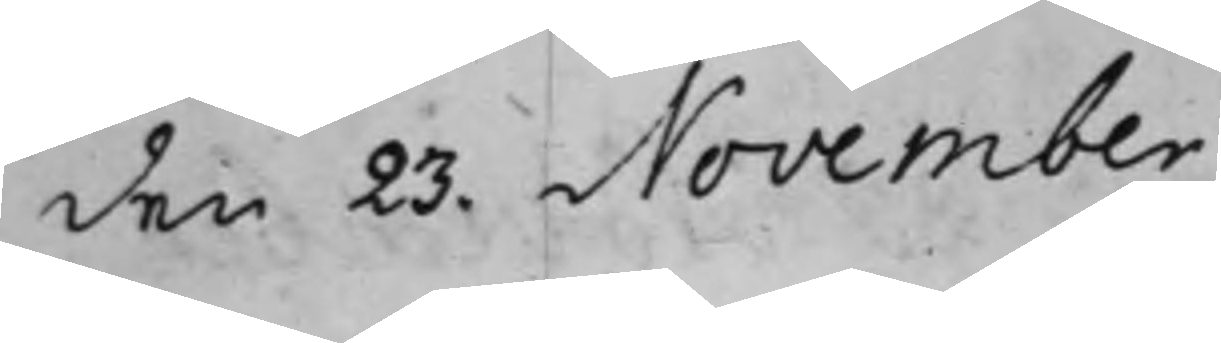den 23. November
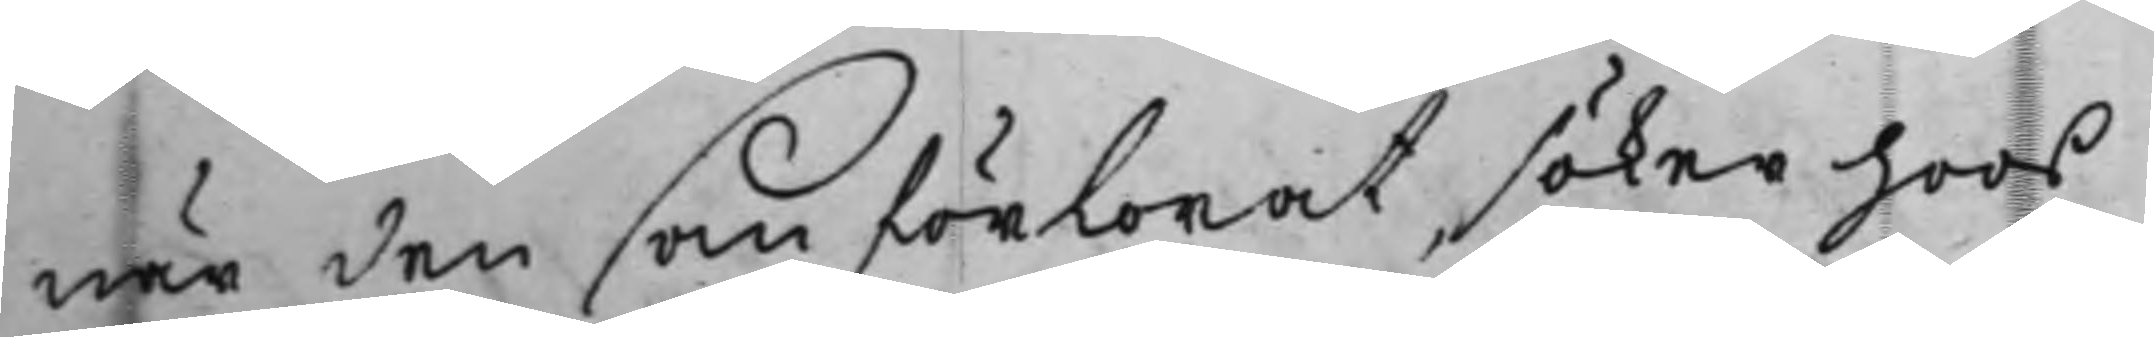när den som förlorat söker hoos
